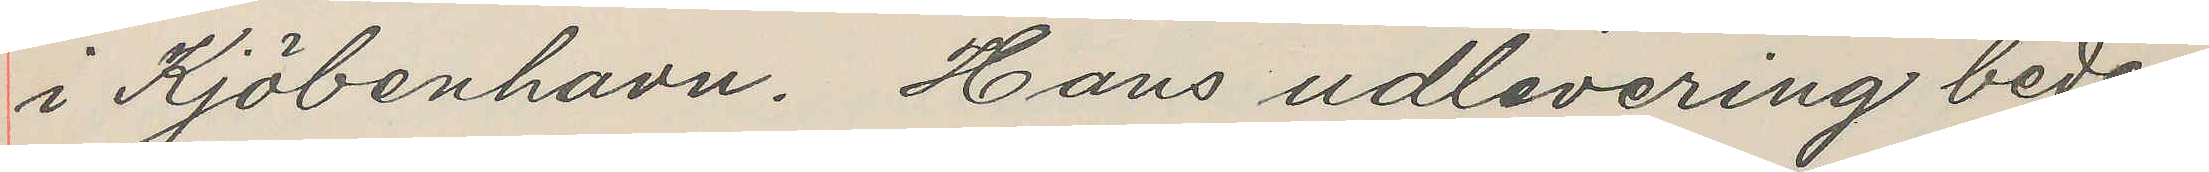i Kjöbenhavn. Hans udlevering bedes
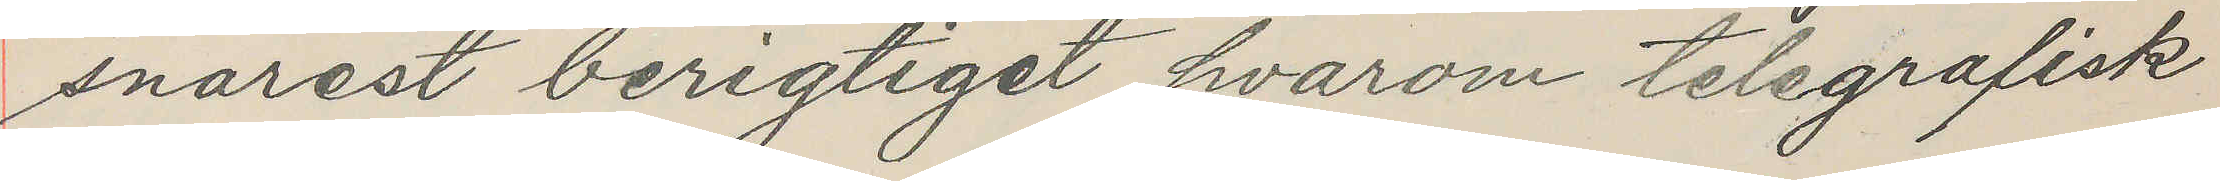snarest berigtiget hvarom telegrafisk
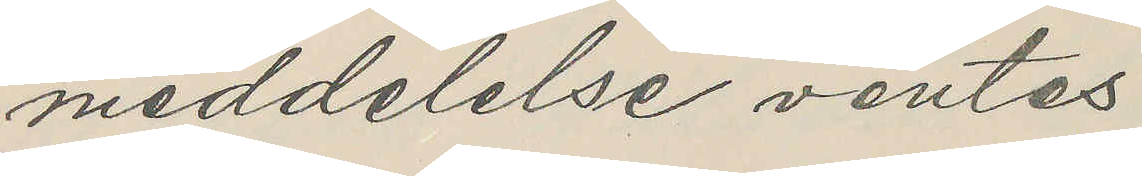meddelelse ventes
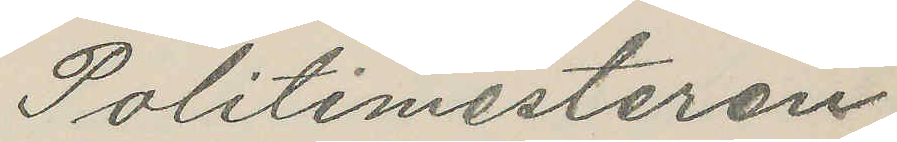Politimesteren
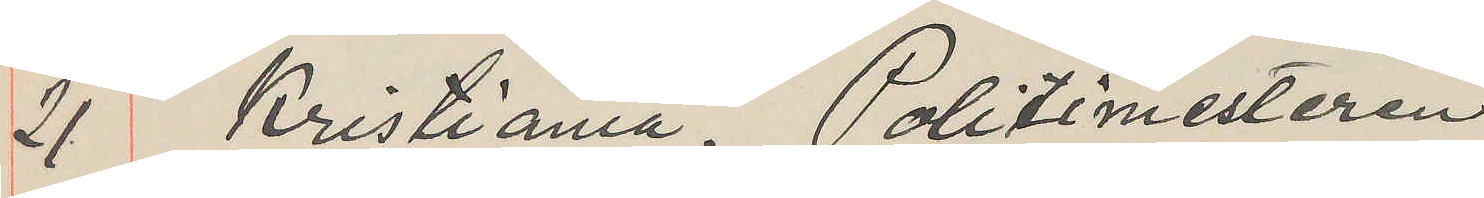21 Kristiania. Politimesteren
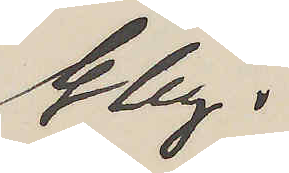Gbg.
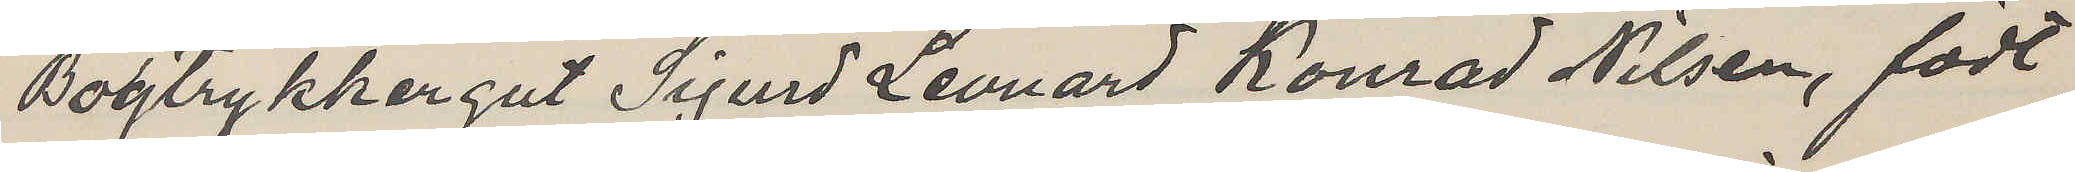Bogtrykkergut Sigurd Leonard Konrad Nilsen, födt
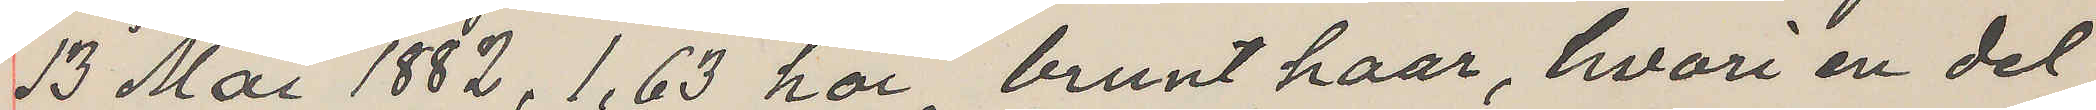13 Mai 1882, 1,63 höi, brunt haar, hvori en del
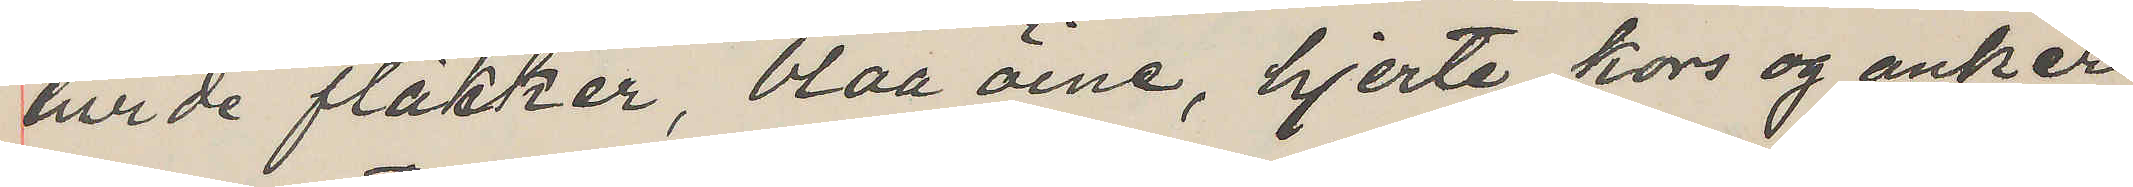hvide fläkker, blaa öine, hjerte, kors og anker
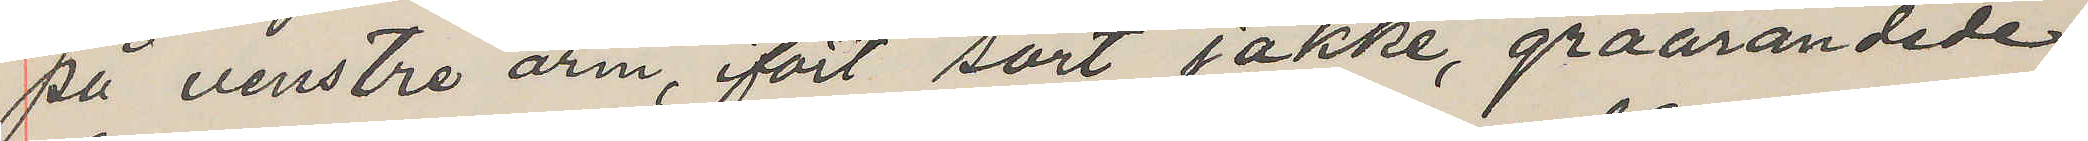på venstre arm, ifört sort jakke, graarandede
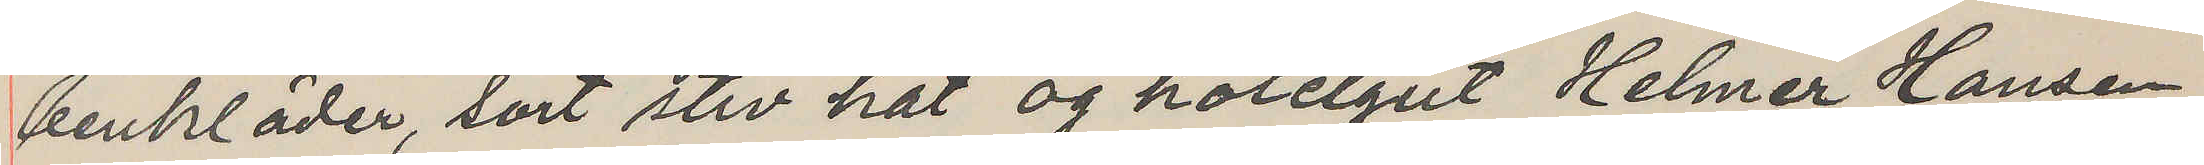benkläder, sort stiv hat og hotelgut Helmer Hansen,
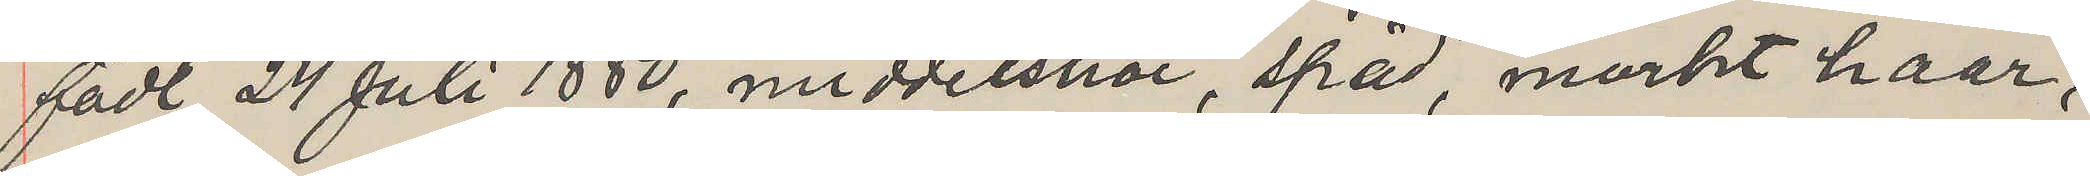födt 24 Juli 1880, middelshöi, späd, mörkt haar,
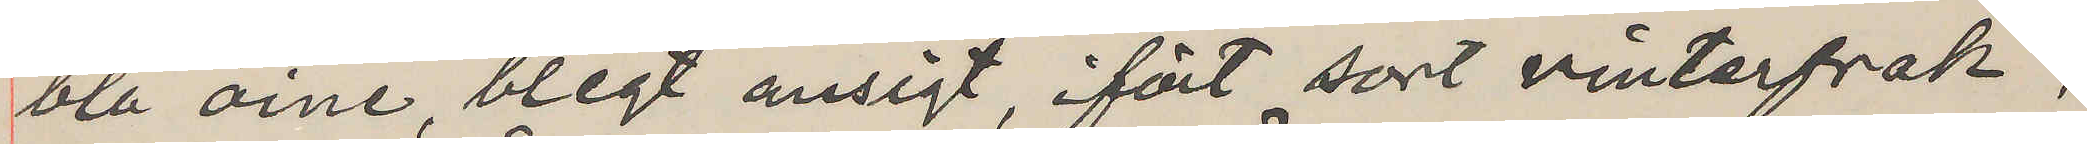blå öine, blegt ansigt, ifört sort vinterfrak,
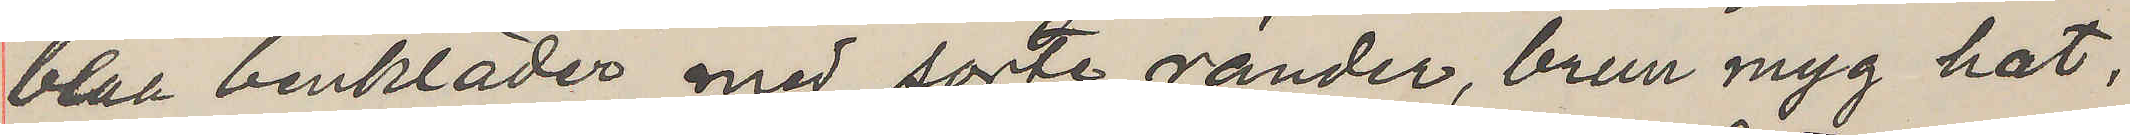blaa benkläder med sorte ränder, brun myg hat,
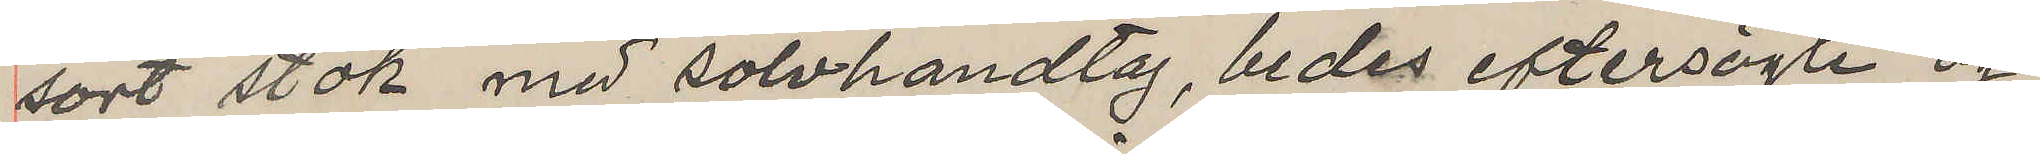sort stok med sölvhandtag, bedes eftersögte og
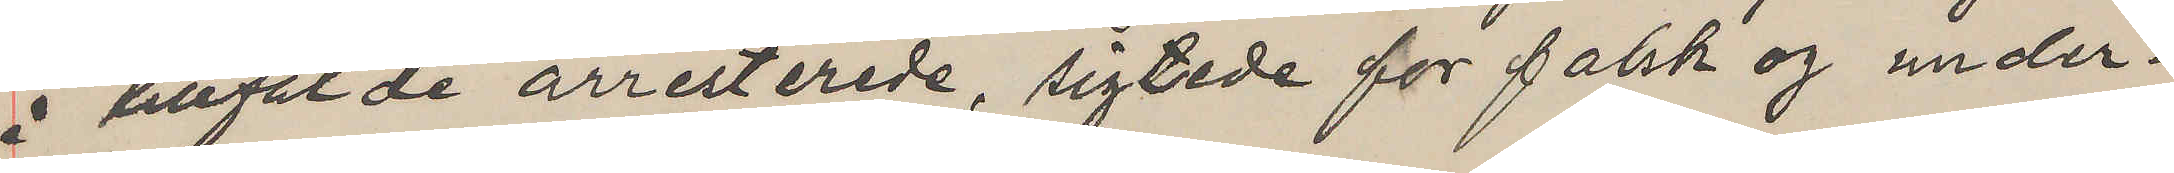i tillfelde arresterede, sigtede for falsk og under¬
